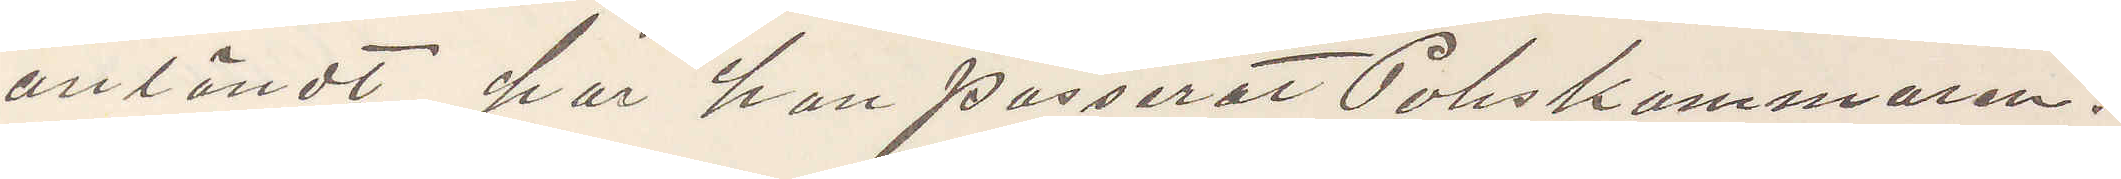anländt, har han passerat Poliskammaren.
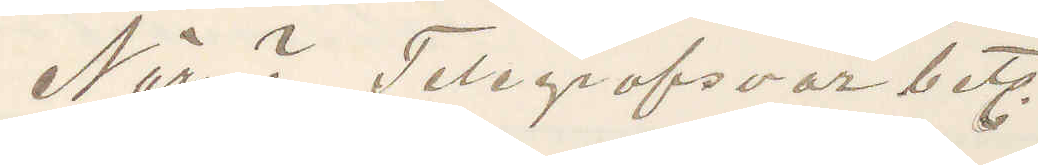När? Telegrafsvar bet.
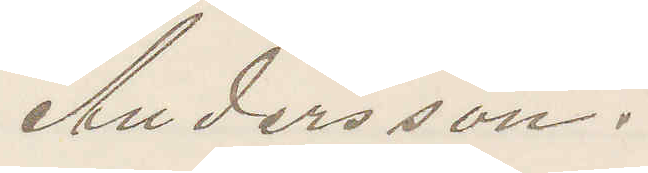Andersson.
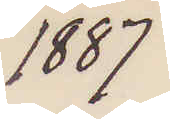1887
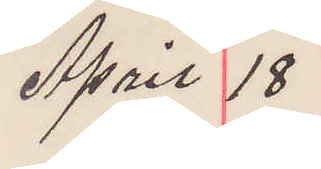April 18
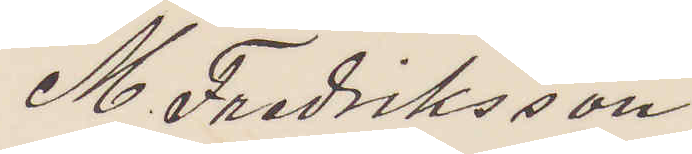M. Fredriksson
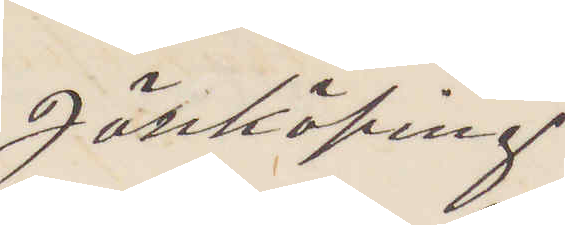Jönköping
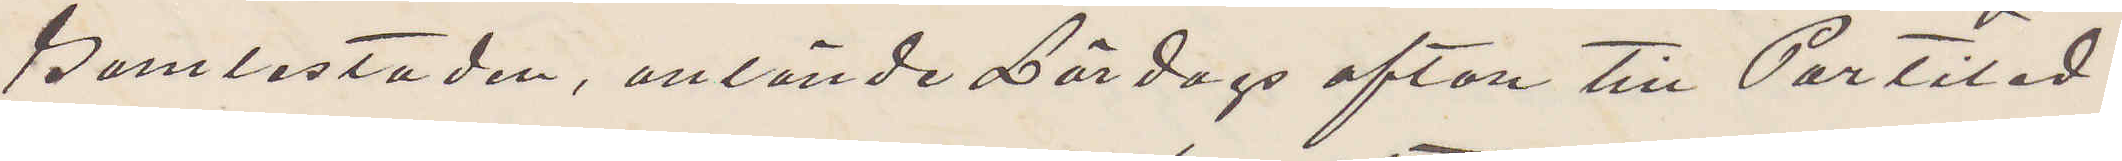Gamlestaden, anlände Lördags afton till Partiled.
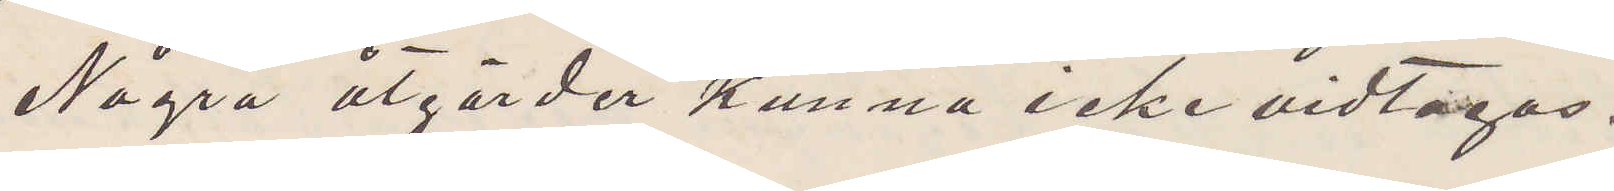Några åtgärder kunna icke vidtagas.
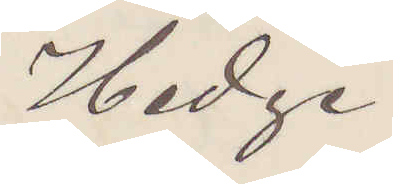Hedge
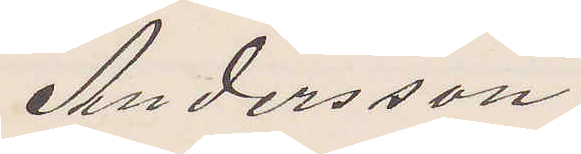Andersson
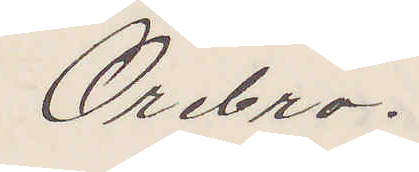Örebro.
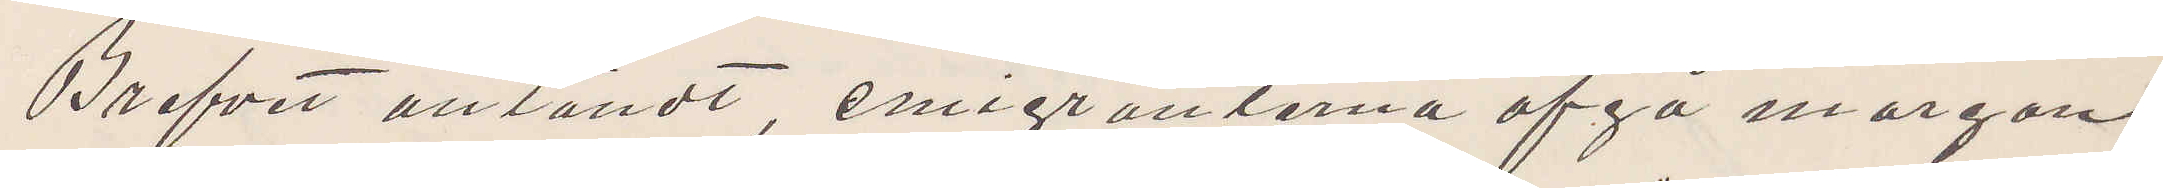Brefvet anländt, emigranterna afgå morgon
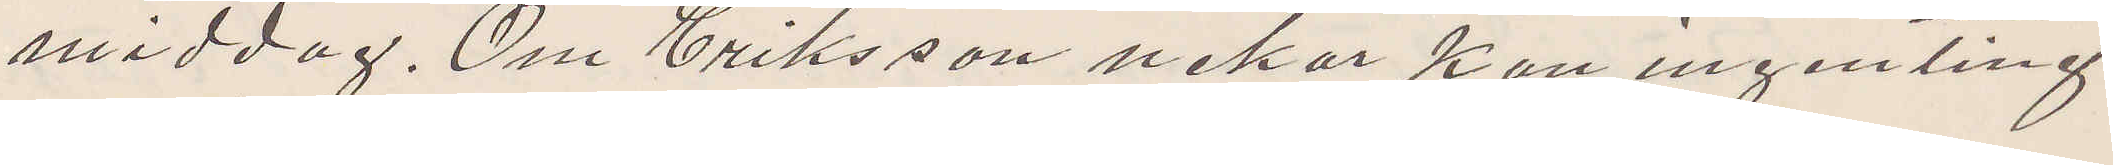middag. Om Eriksson nekar kan ingenting
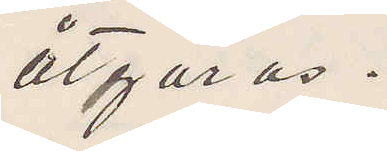åtgöras.
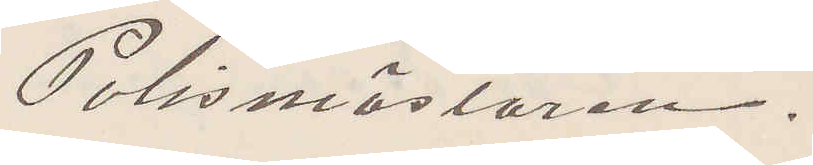Polismästaren.
